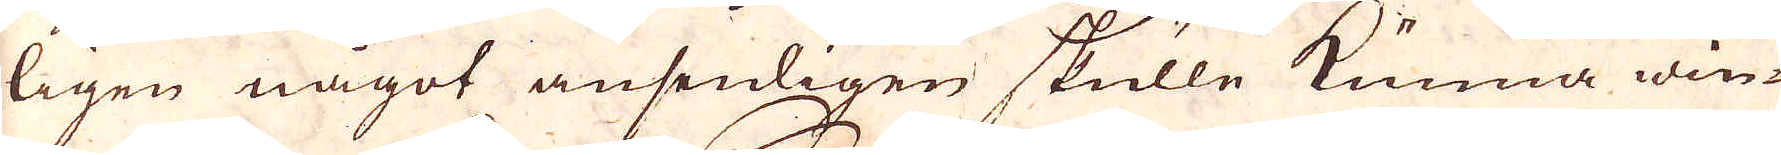ligen något ansenligen skulle kunna win-
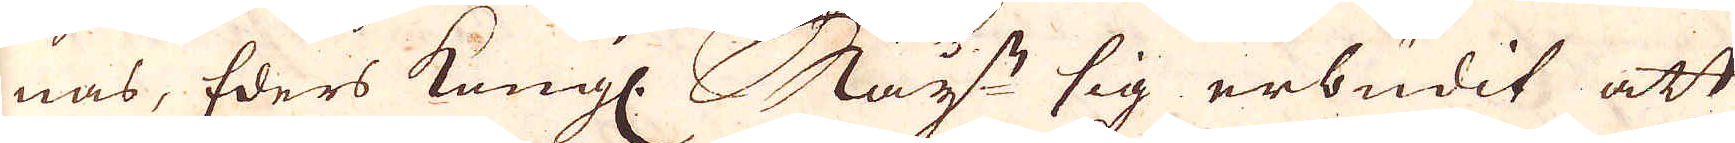nas, Eders Kungl. May:ts sig erbudit att
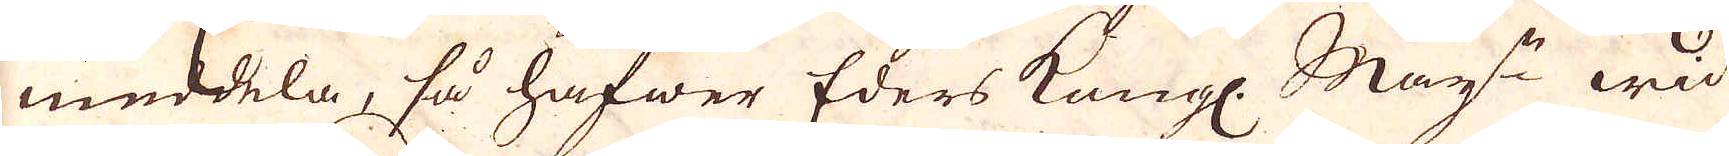meddela, så hafwer Eders Kungl. May:ts wid
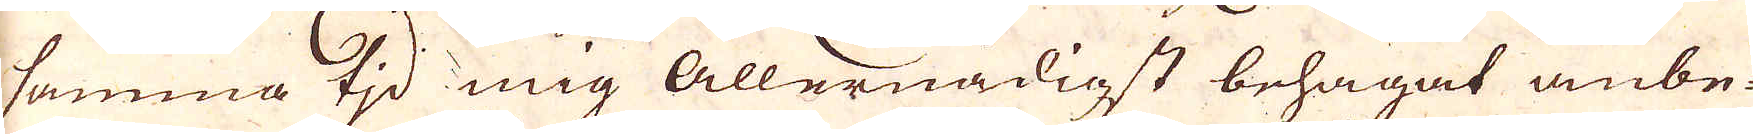sammma tid mig Allernådigst behagat anbe-
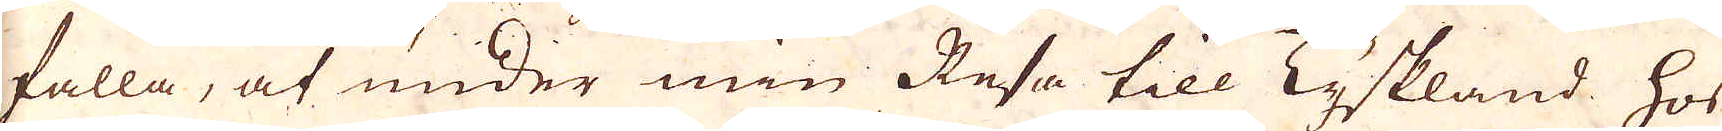falla, at under min Resa till Tyskland hos
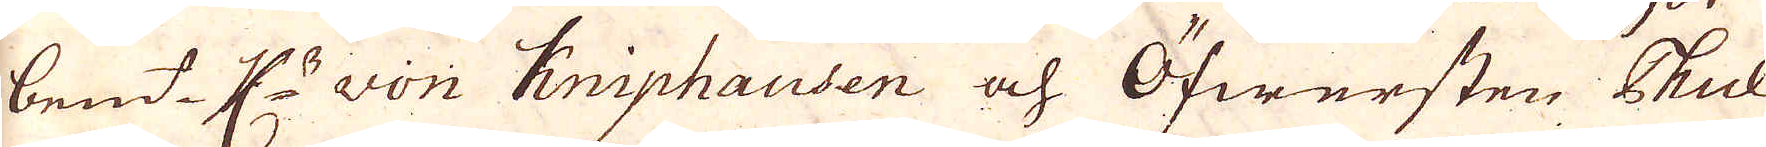bem:t K:B von Kniphausen och Öfwersten Phul
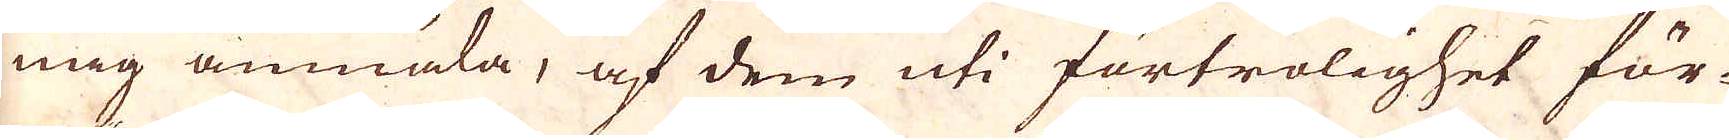mig anmäla, af dem uti förtrolighet för-
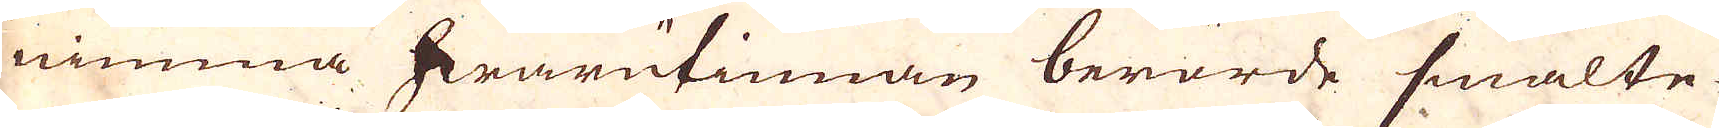nimma hwarutinnan berörde smälte-
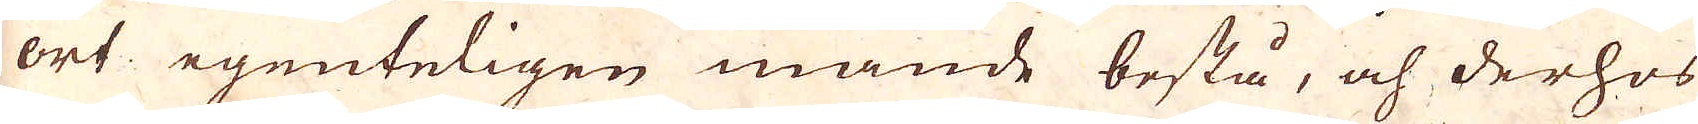ort egenteligen månde bestå, och derhos
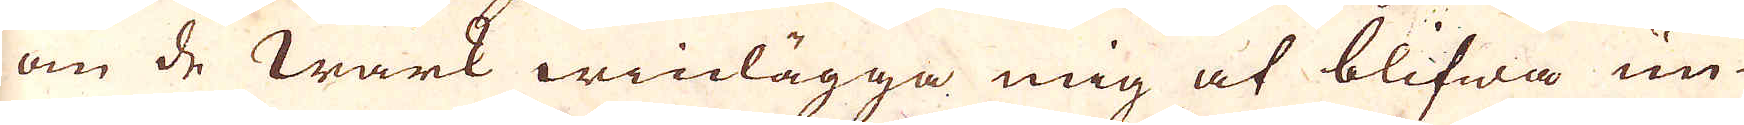om de wärk winlägga mig at blifwa un-
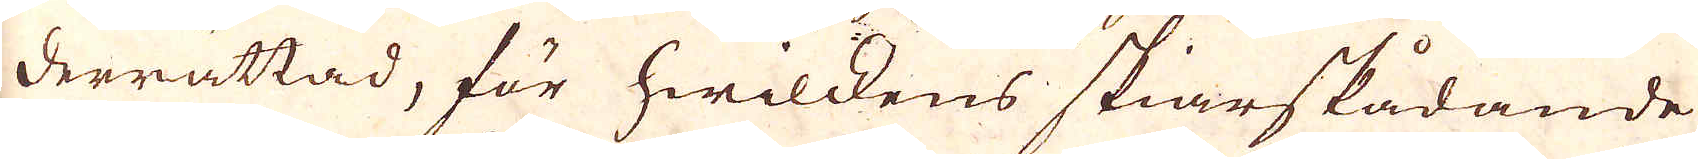derrättad, för hwilkens skiarskådande
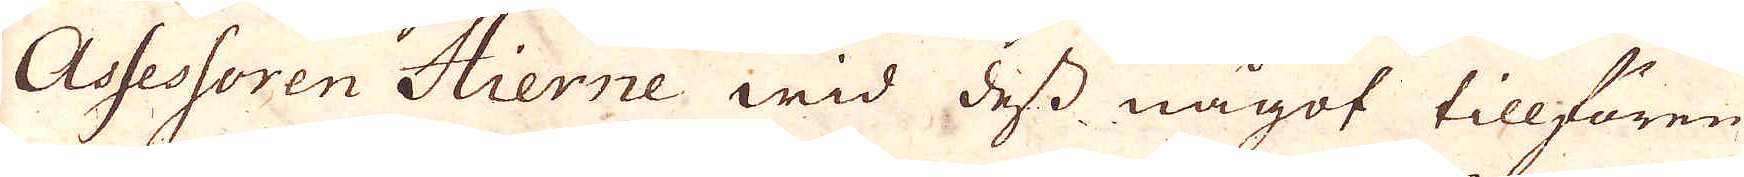Assessoren Hierne wid dess något tillfören-
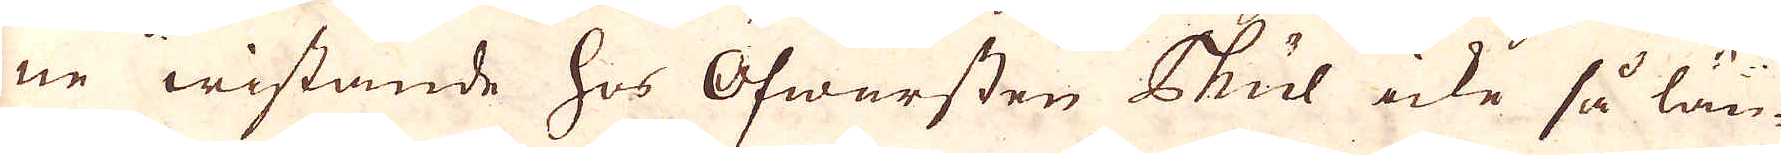ne wistande hos Öfwersten Chul icke så län-
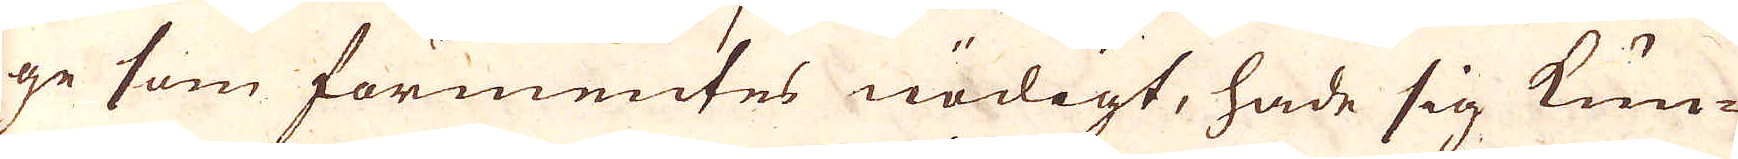ge som förmentes nödigt, hade sig kun-
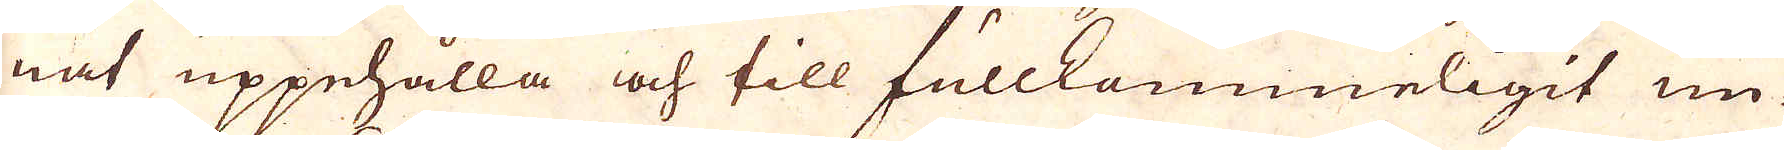nat uppehålla och till fullkommeligit un-
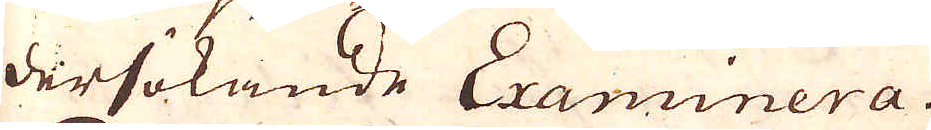dersökande Examinera.
